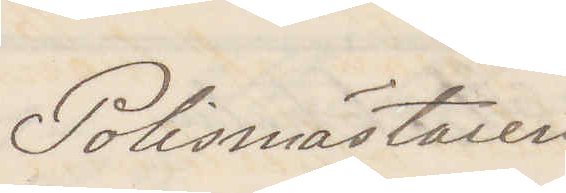Polismästaren
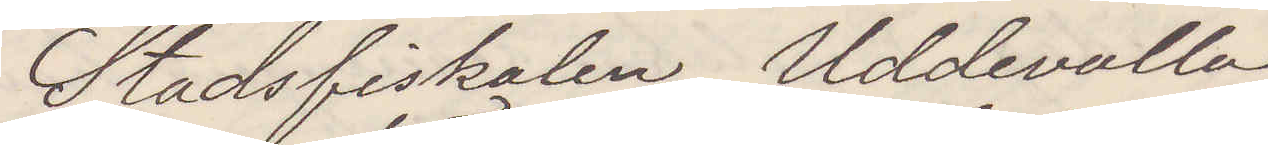Stadsfiskalen Uddevalla
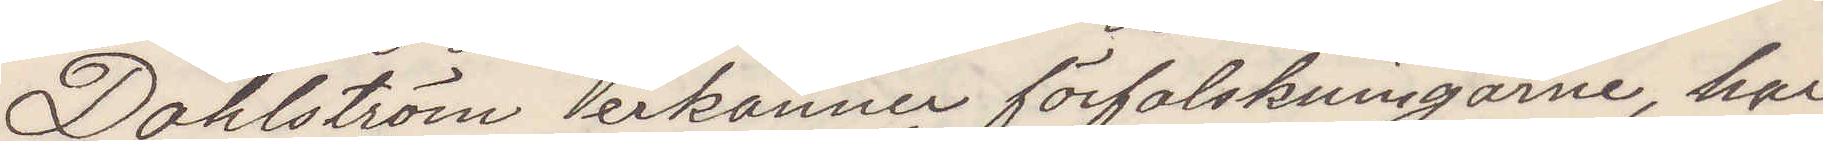Dahlström erkänner förfalskningarne, har
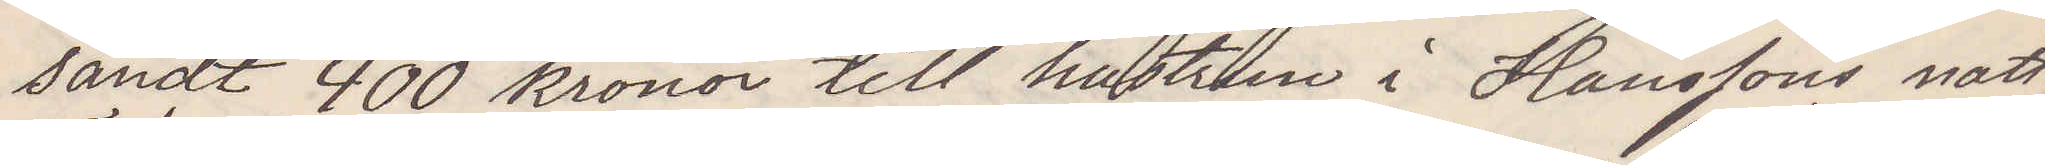sändt 400 kronor till hustrun i hanssons natt¬
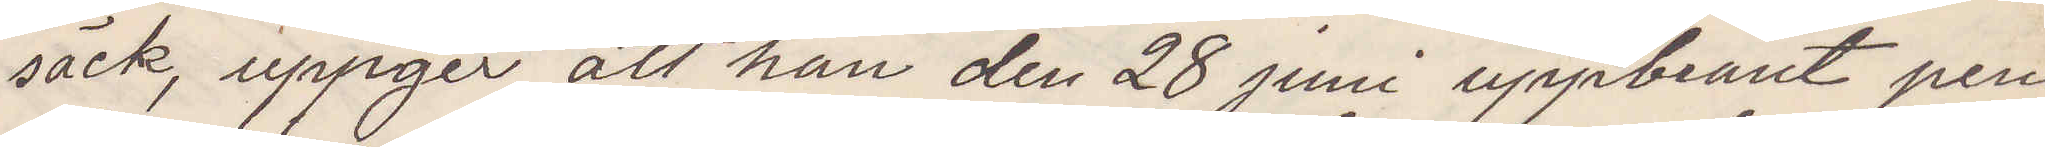säck, uppger att han den 28 juni uppbränt pen¬
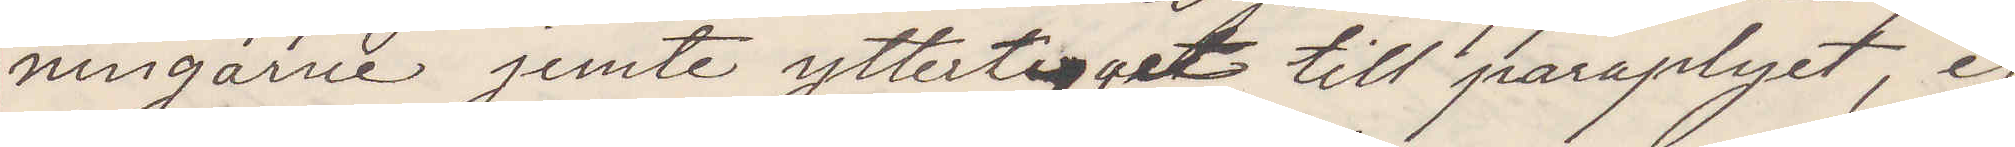ningarne jemte yttertyget till paraplyet, ej
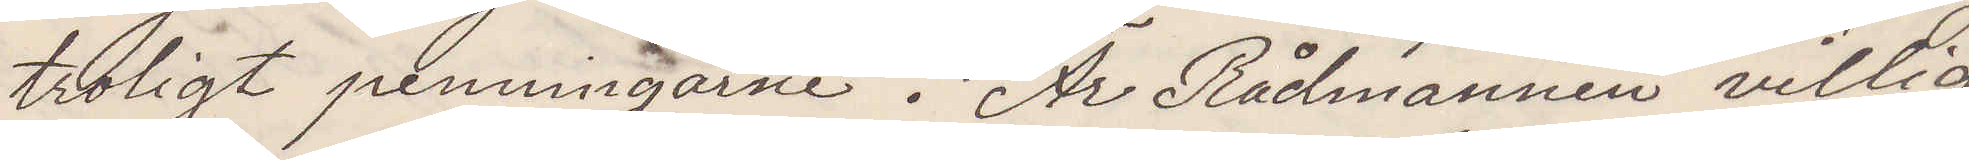troligt penningarne. Är Rådmannen villig
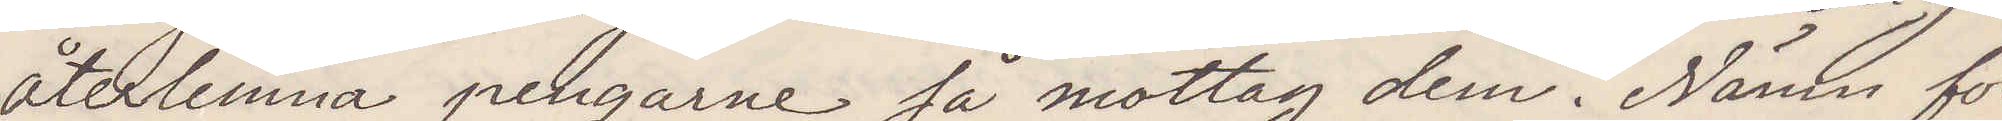återlemna pengarne så mottag dem. Nämn för
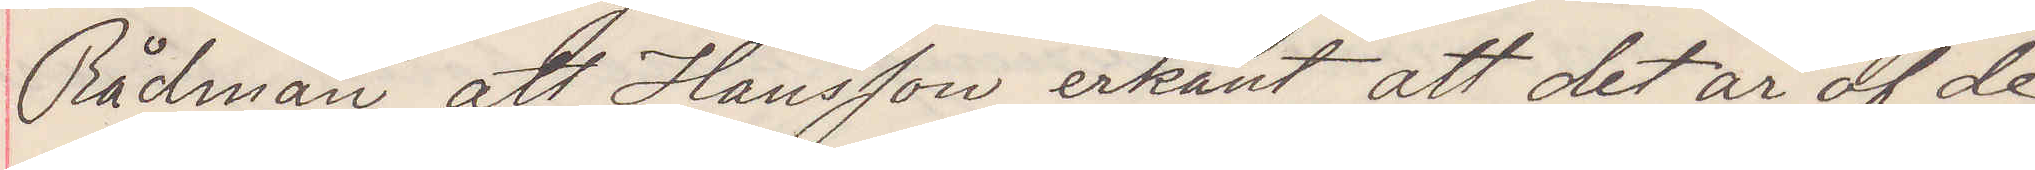Rådman att Hansson erkänt att det är af de
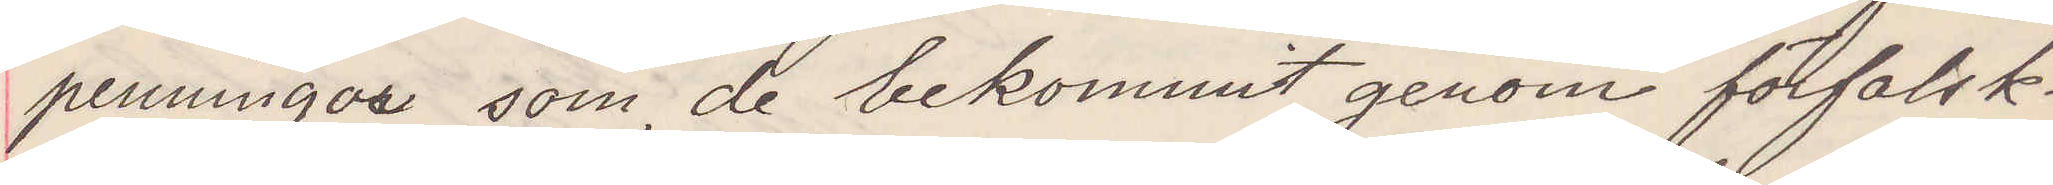penningar som de bekommit genom förfalsk¬
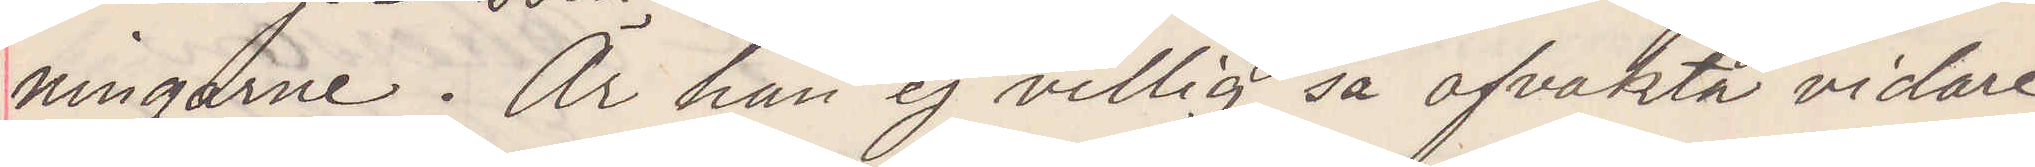ningarne. Är han ej villig så afvakta vidare
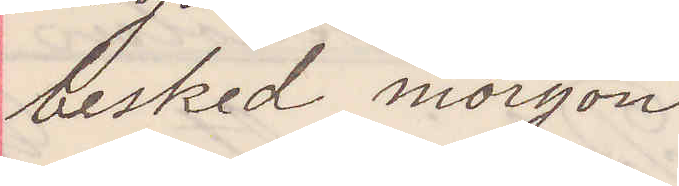besked morgon
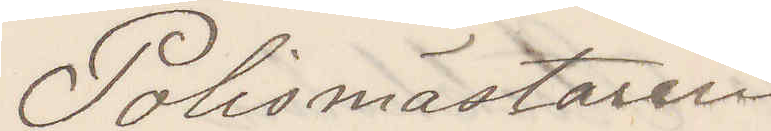Polismästaren
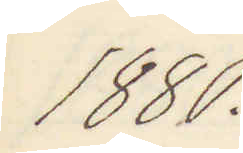1880.
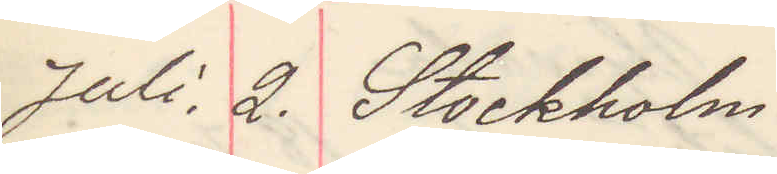Juli 2. Stockholm
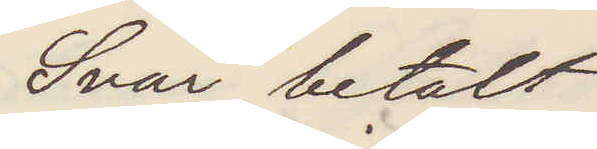Svar betalt
